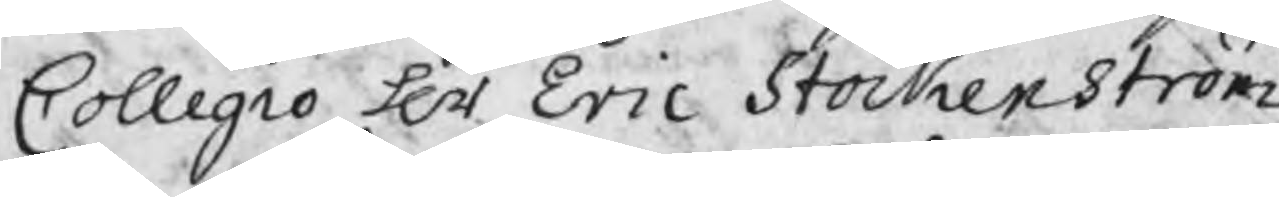Collegio Hr Eric Stockenström,
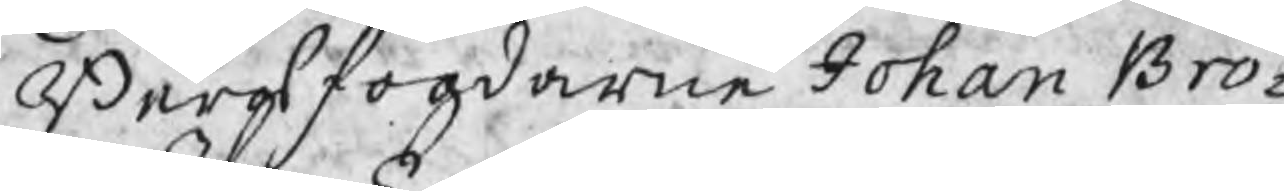Bergsfogdarne Johan Bro¬
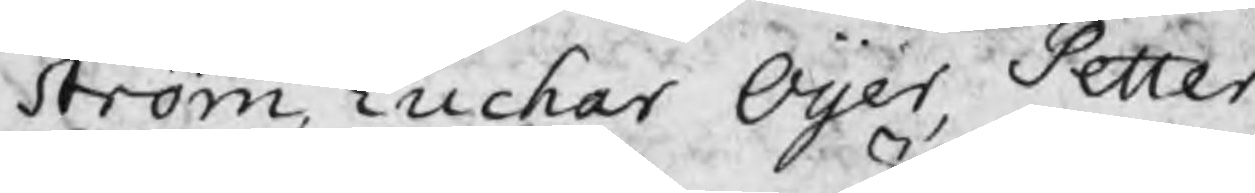ström, Euchar Oijer, Petter
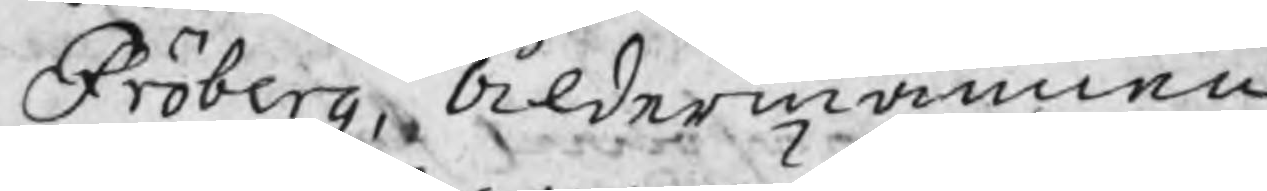Fröberg, Åldermännen
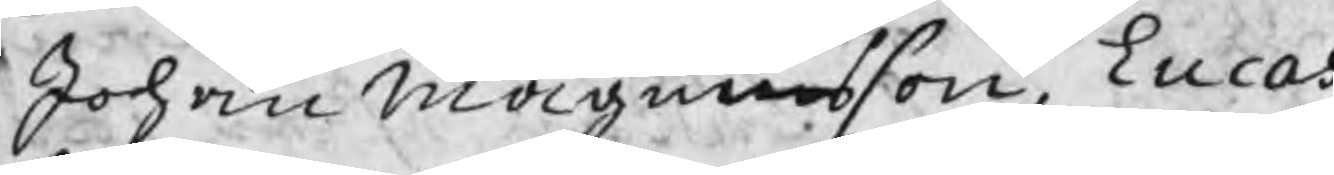Johan Magnusson, Lucas
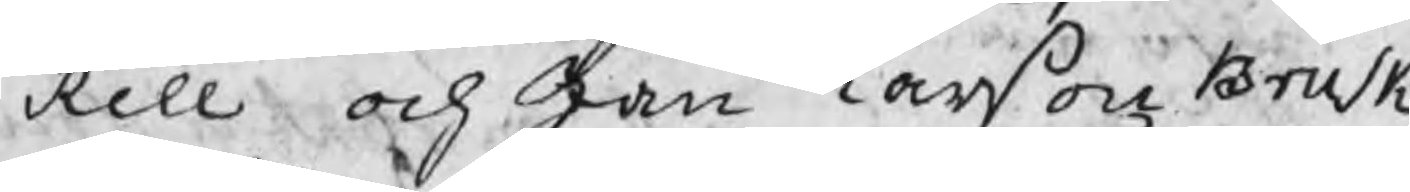Rell och Jan Larßon Brusk,
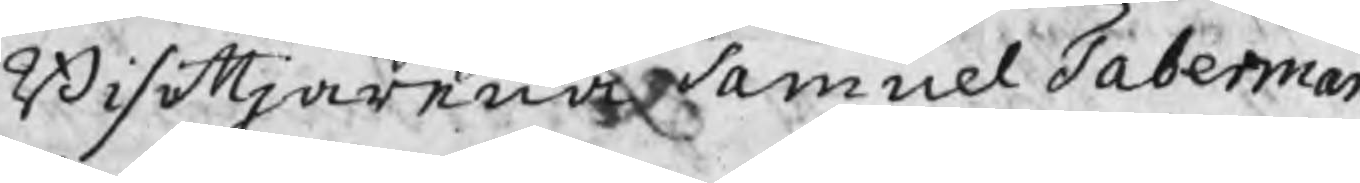Bisittjarna Samuel Taberman,
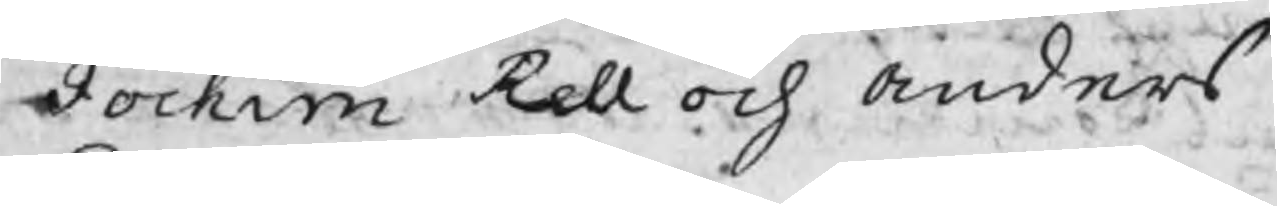Jochim Rell och Anders
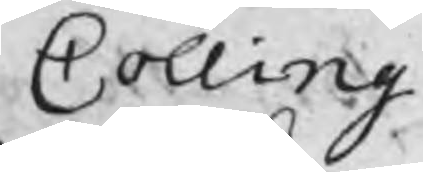Colling.
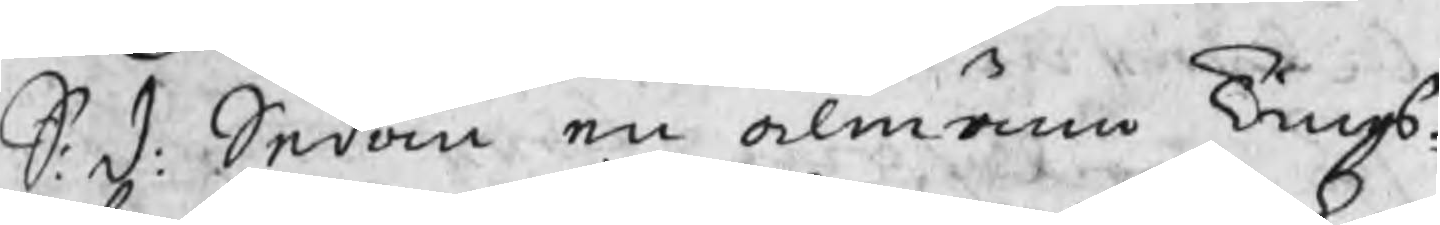S: d: Sedan en almänn Tings¬
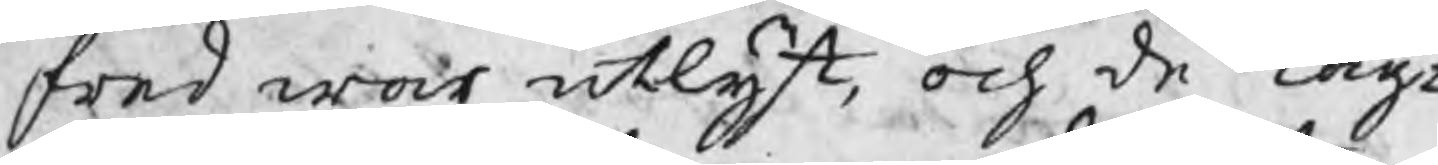fred war utlyst, och de Lag¬
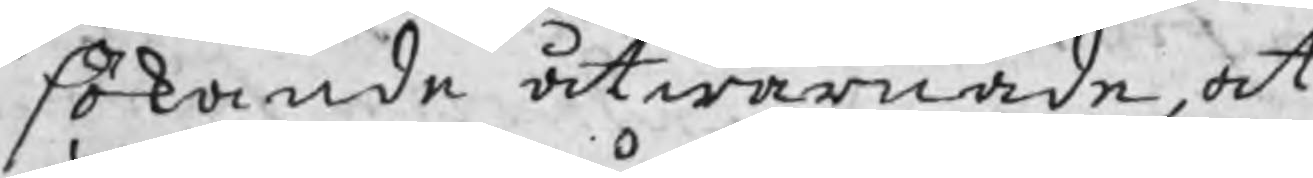sökande åtwarnade, at
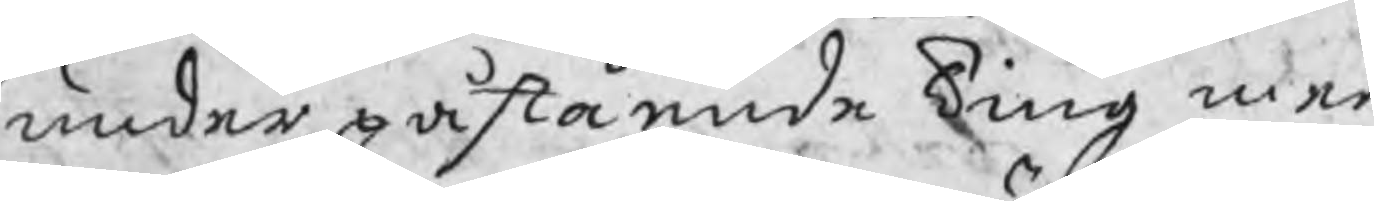under påstående Ting med
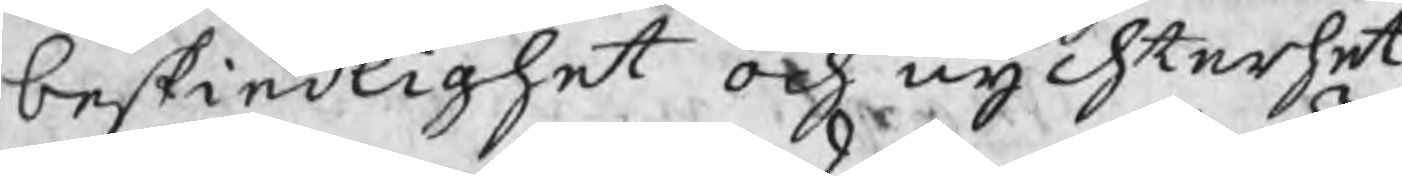beskiedlighet och nychterhet
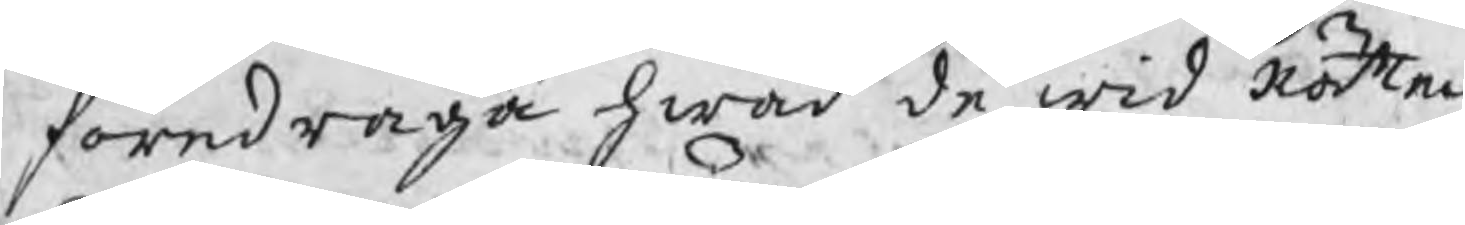föredraga hwad de wid Rätten
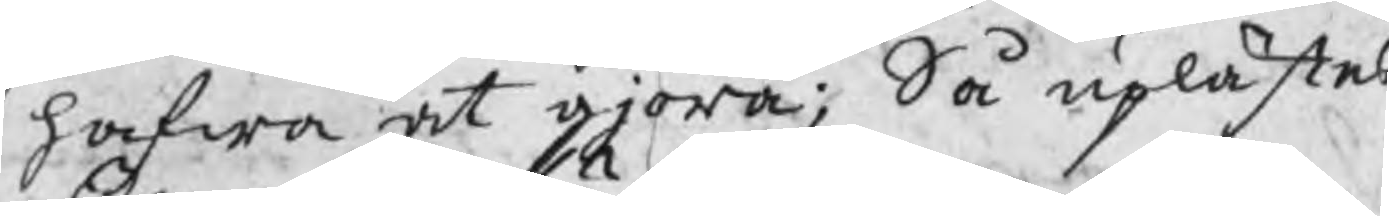hafwa at giöra; Så uplästes
